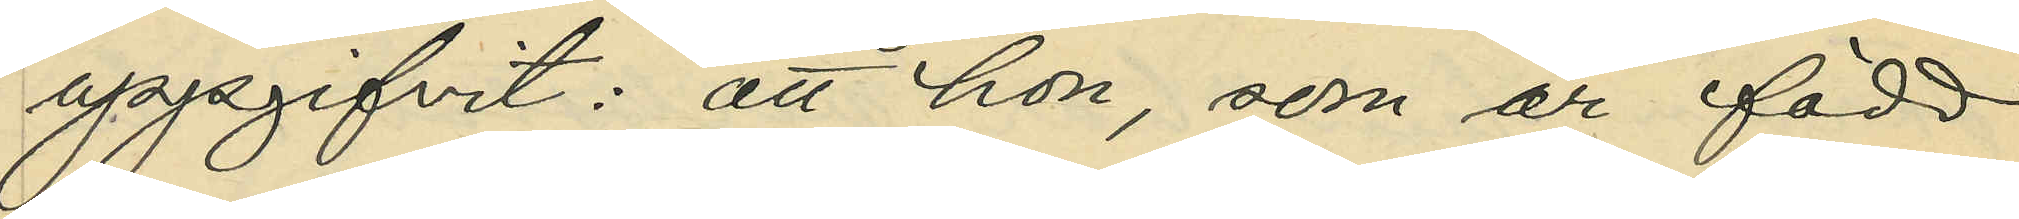uppgifvit: att hon, som är född
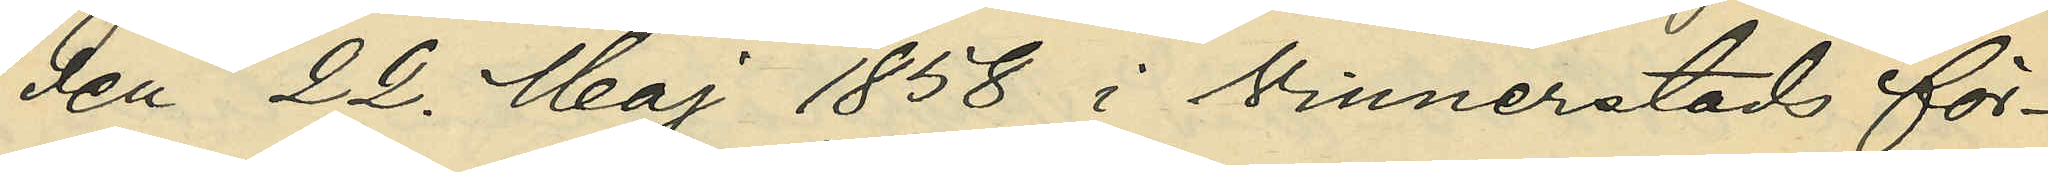den 22. Maj 1858 i Vinnerstads för¬
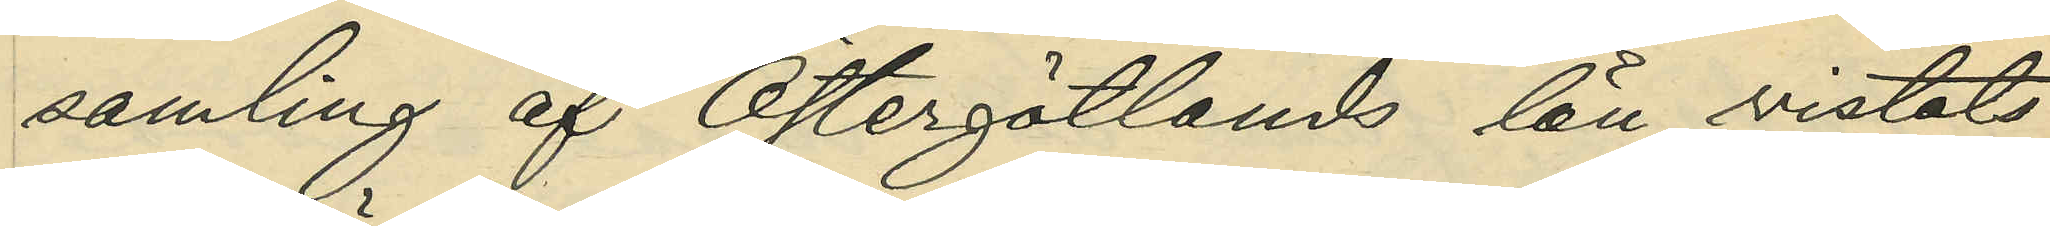samling af Östergötlands län, vistats
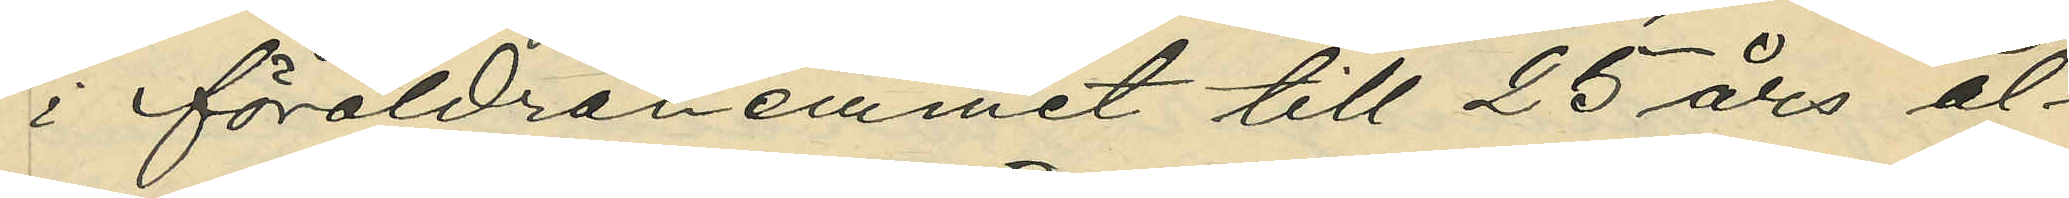i föräldrahemmet till 25 års ål¬
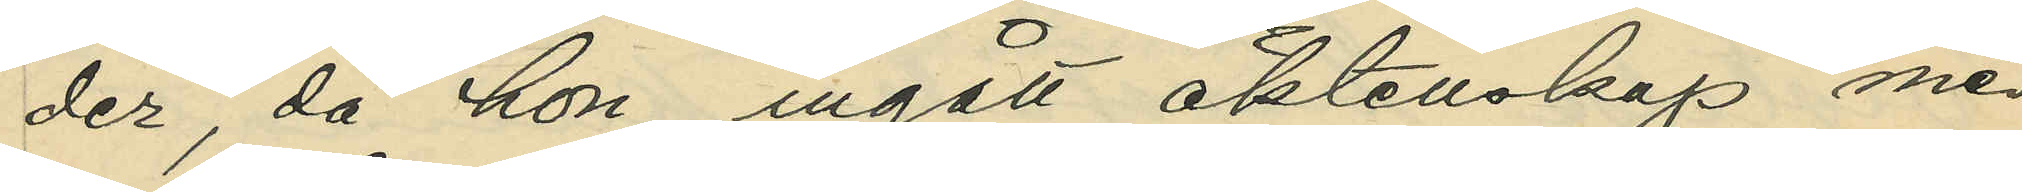der, då hon ingått äktenskap med
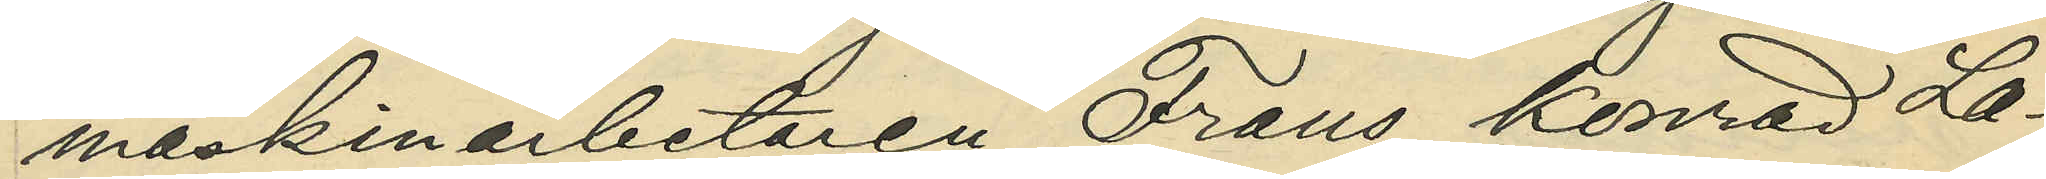maskinarbetaren Frans Konrad La¬
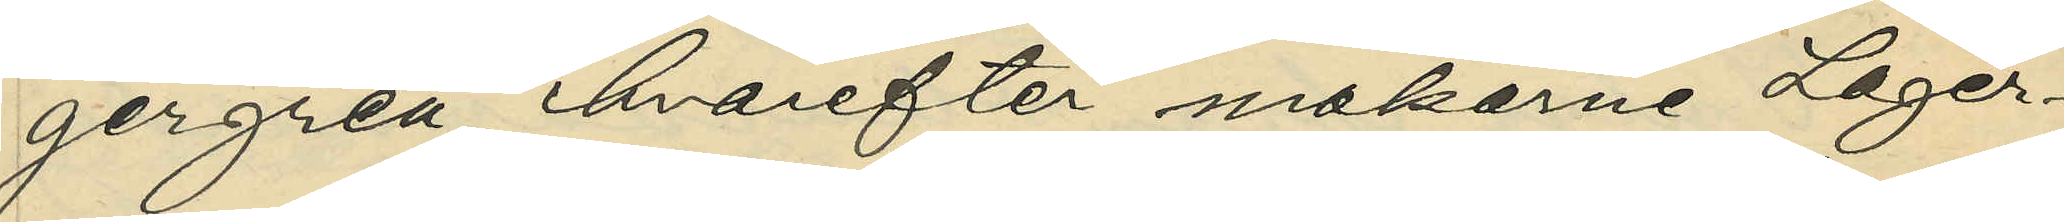gergren, hvarefter makarne Lager¬
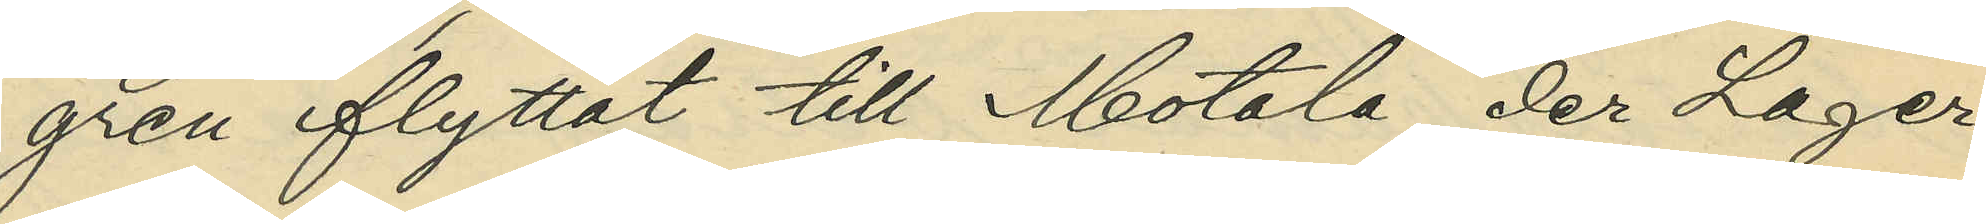gren flyttat till Motala, der Lager¬
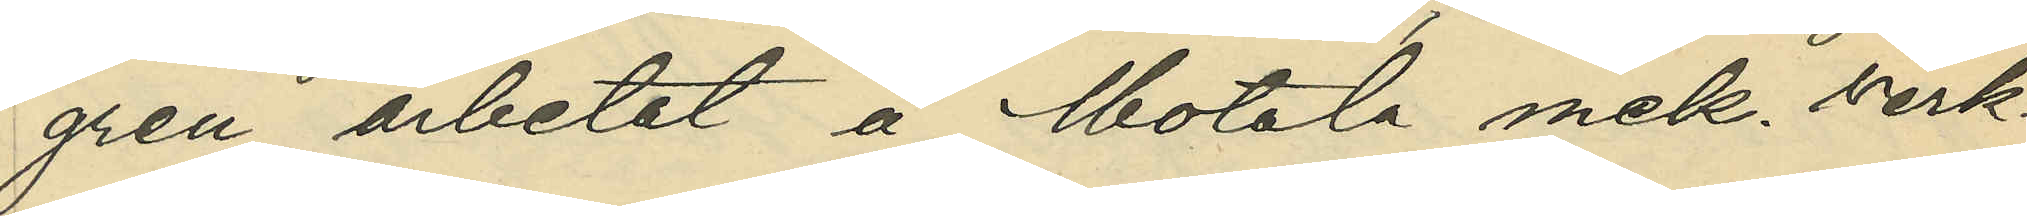gren arbetat å Motala mek. verk¬
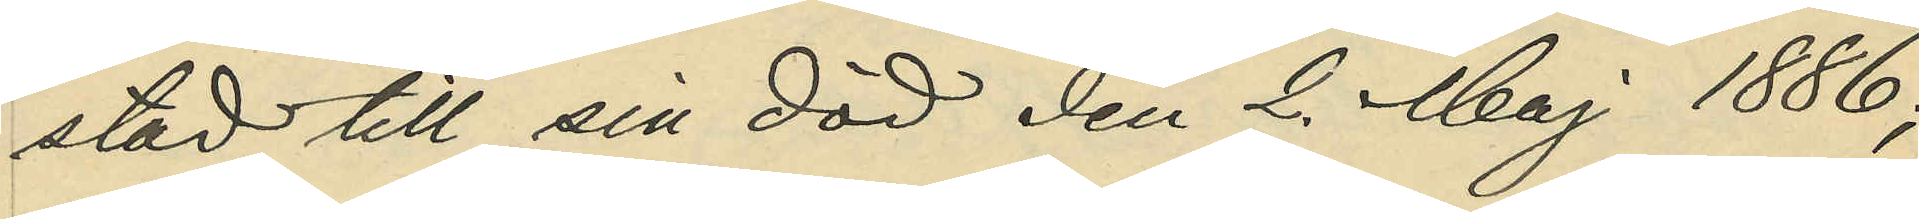stad till sin död den 2. Maj 1886;
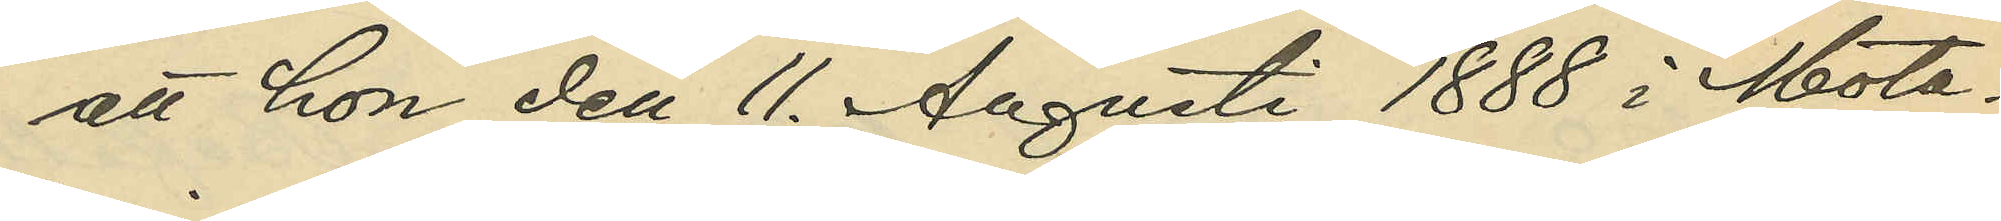att hon den 11. Augusti 1888 i Mota¬
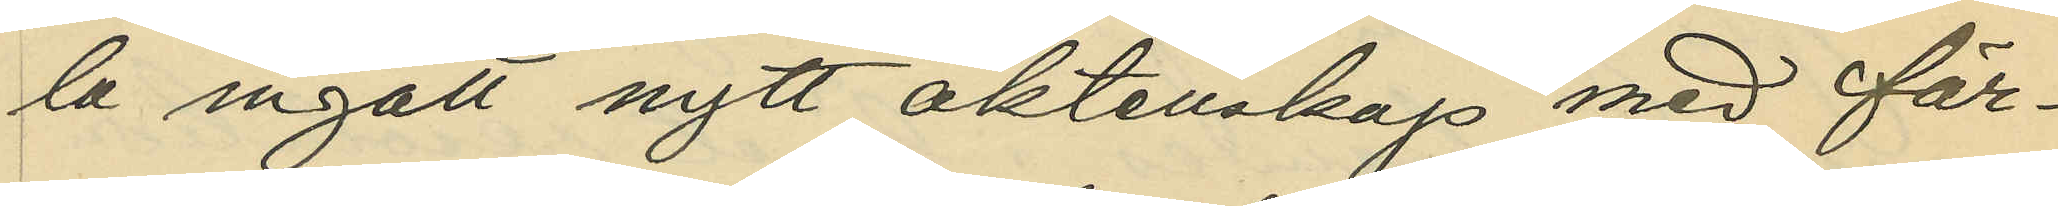la ingått nytt äktenskap med fär¬
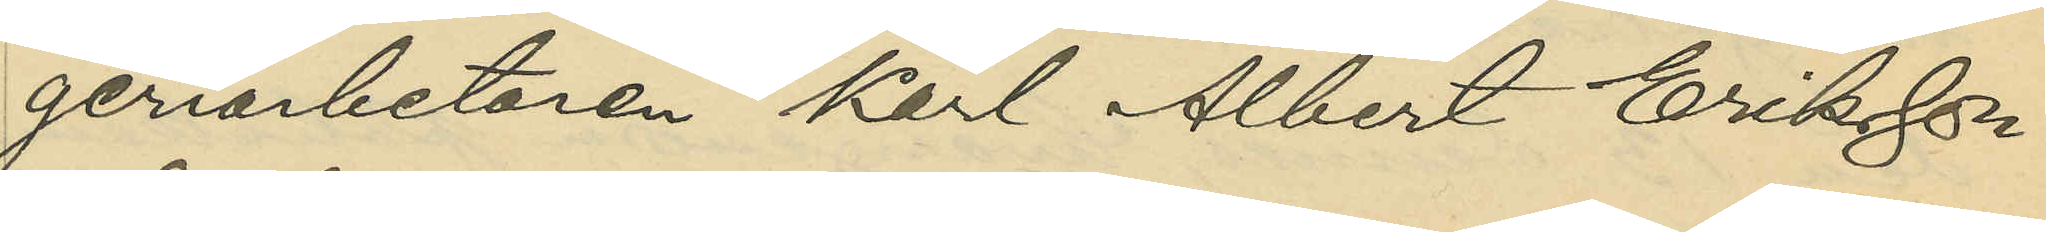geriarbetaren Karl Albert Eriksson
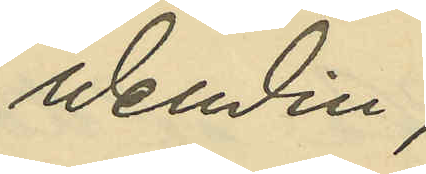Wendin;
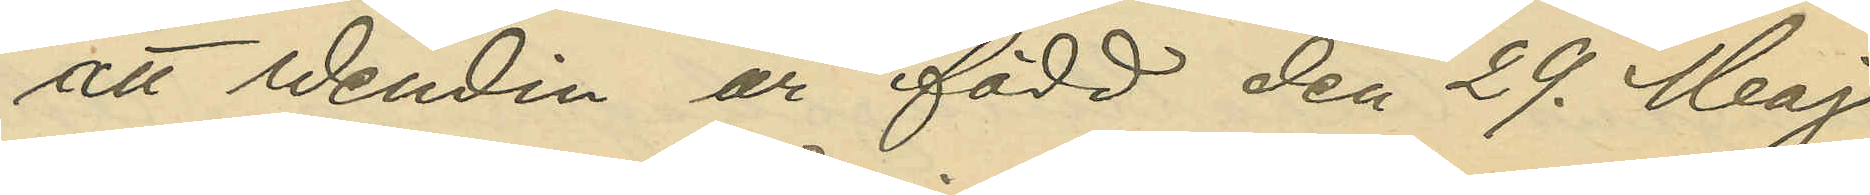att Wendin är född den 29. Maj
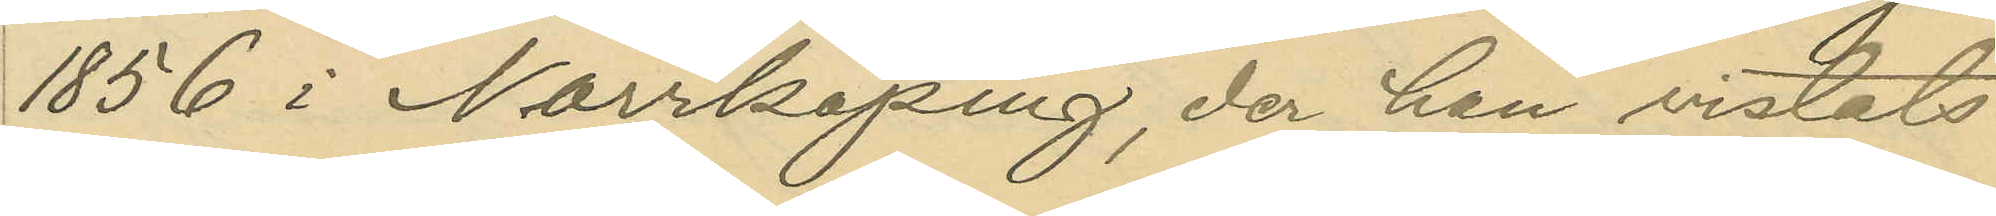1856 i Norrköping, der han vistats
